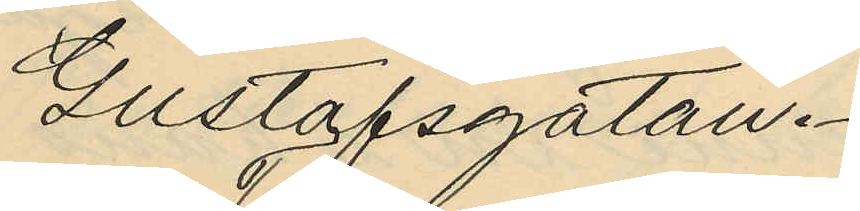Gustafsgatan.
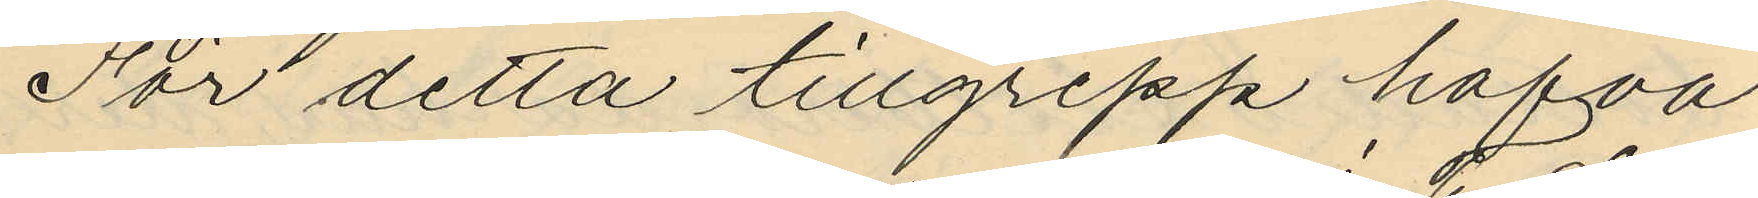För detta tillgrepp hafva
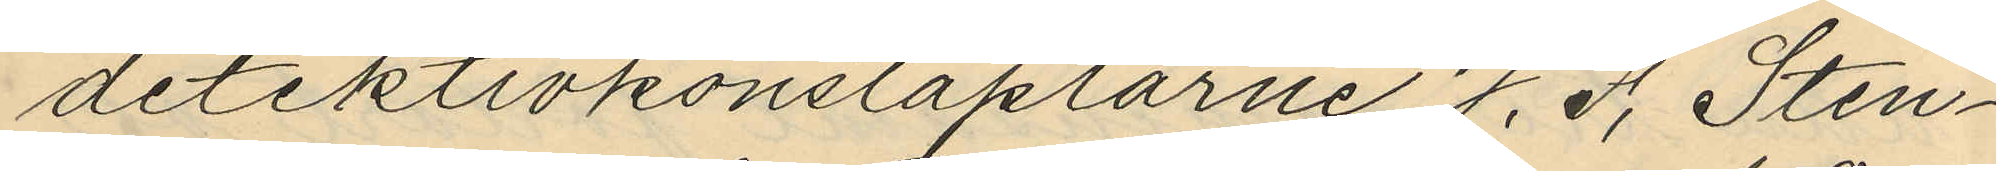detektivkonstaplarne J. J. Sten¬
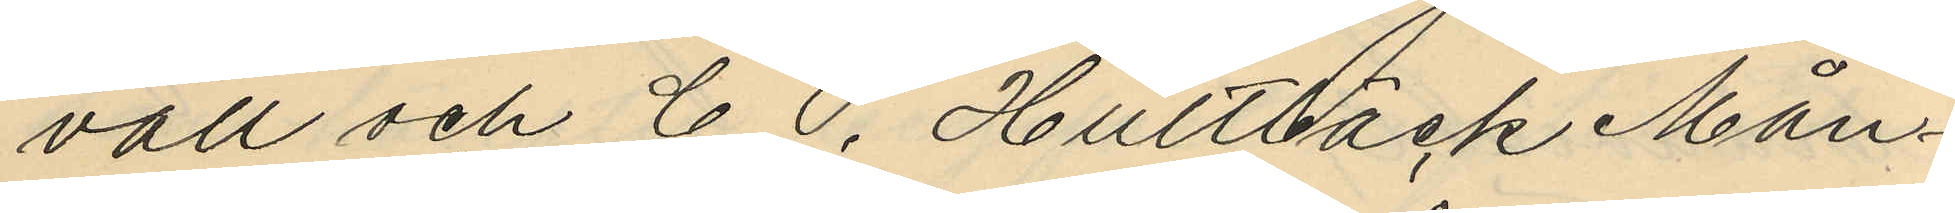vall och C. C. Hultbäck Mån¬
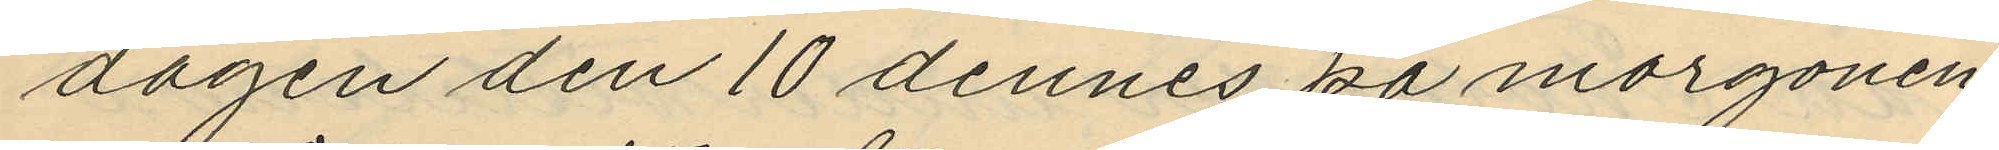dagen den 10 dennes på morgonen
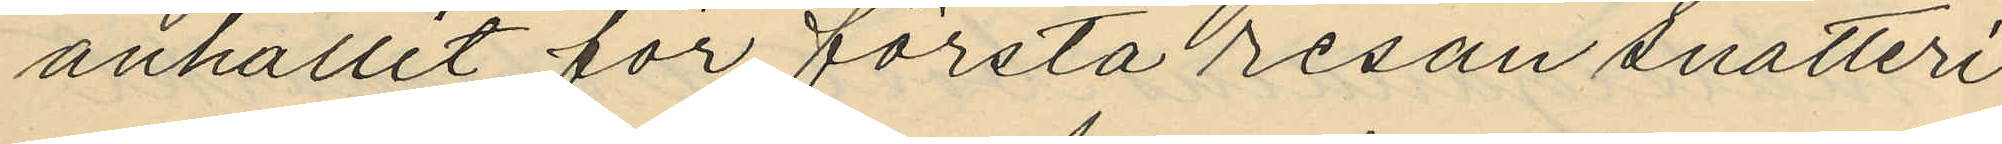anhållit för första resan snatteri
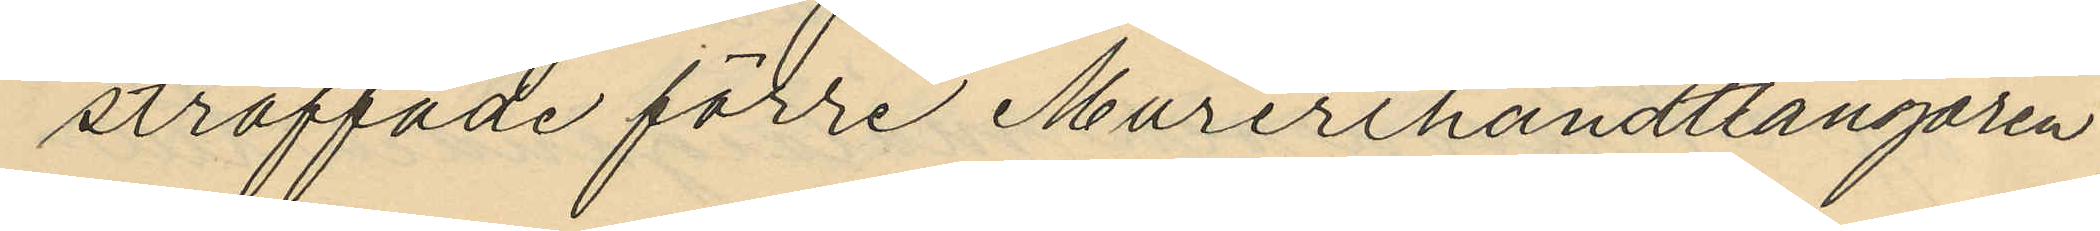straffade förre Murerihandtlangaren
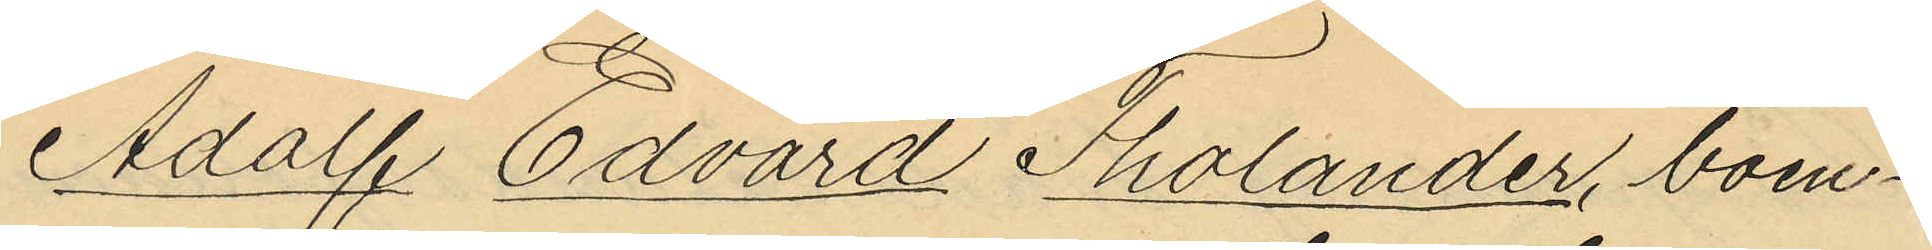Adolf Edvard Tholander, boen¬
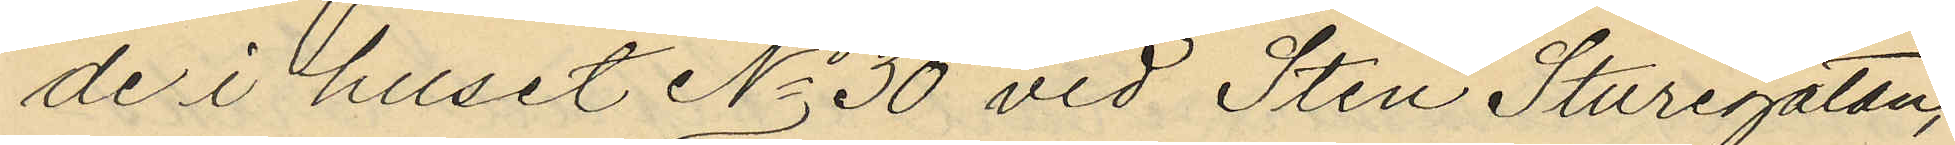de i huset No 30 vid Sten Sturegatan,
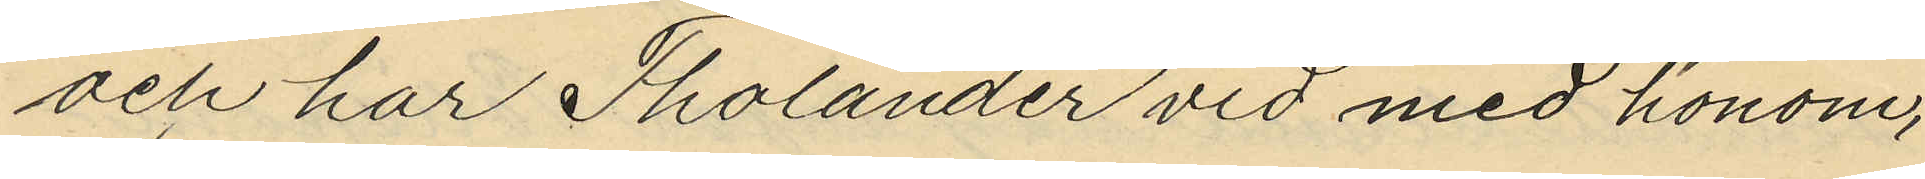och har Tholander vid med honom,
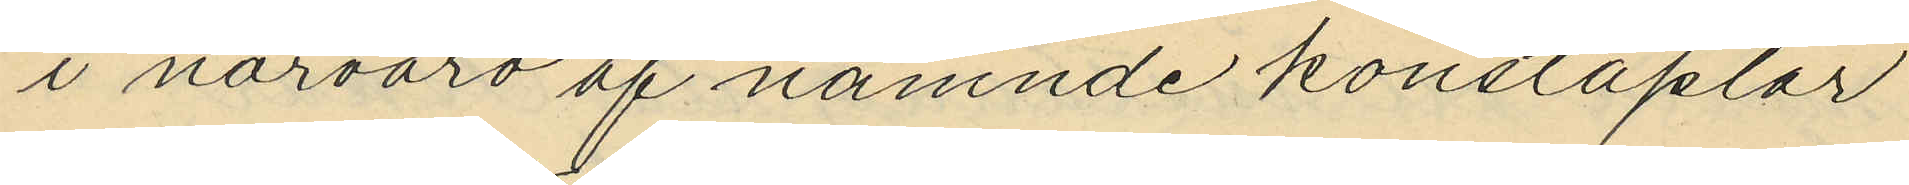i närvaro af nämnde konstaplar
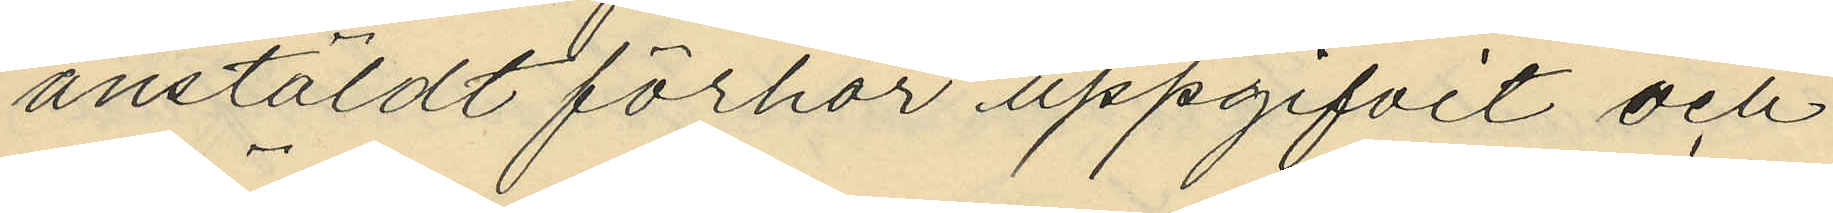anstäldt förhör uppgifvit och
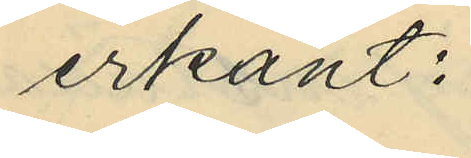erkänt:
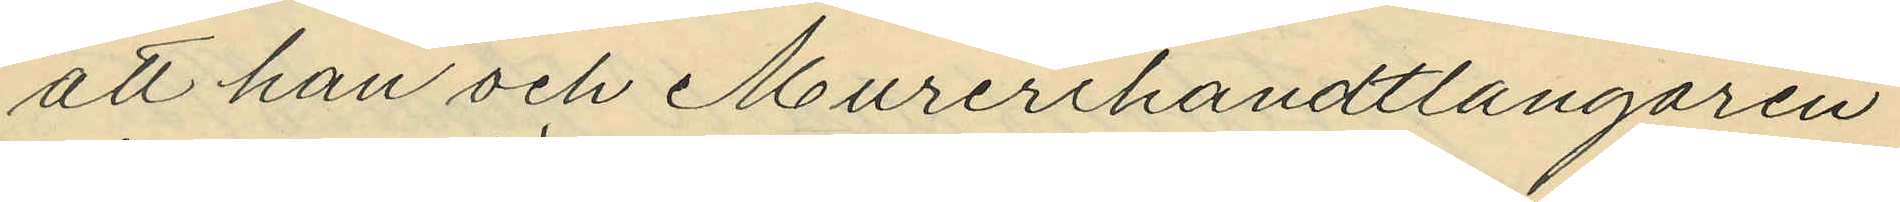att han och Murerihandtlangaren
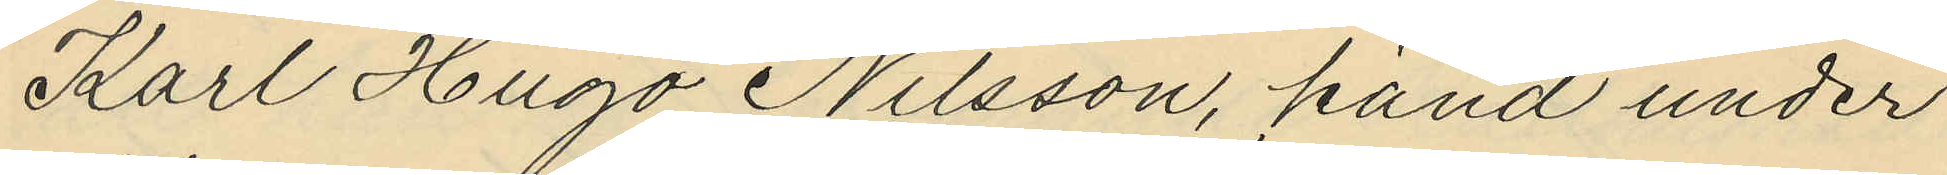Karl Hugo Nilsson, känd under
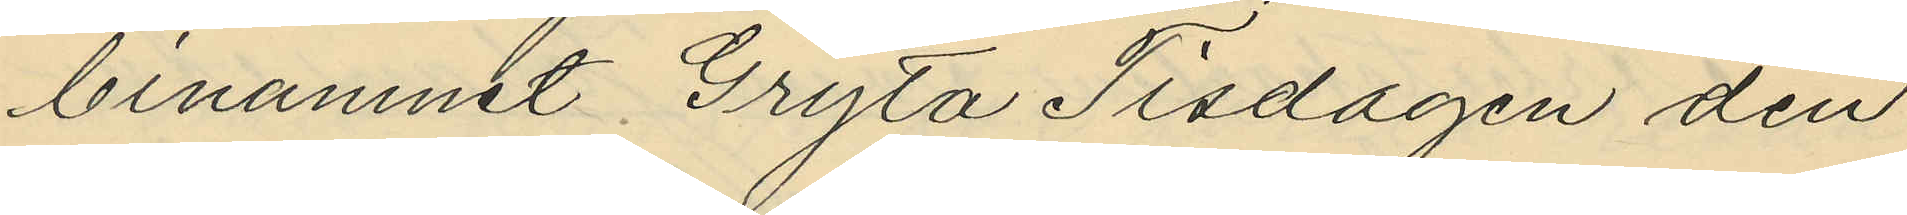binamnet Gryta Tisdagen den
